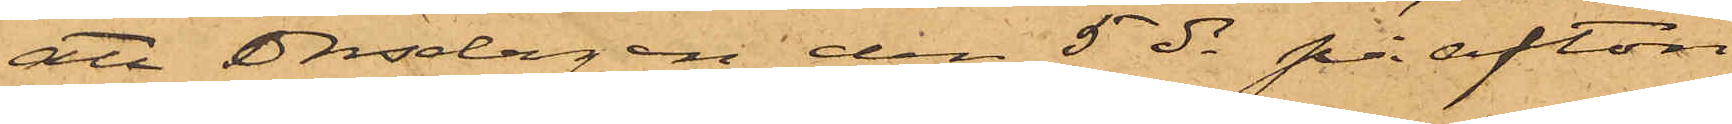att Onsdagen den 5 ds på afton
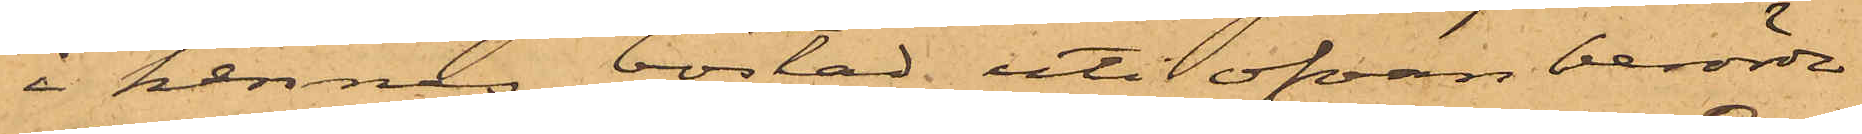i hennes bostad uti ofvan berörde
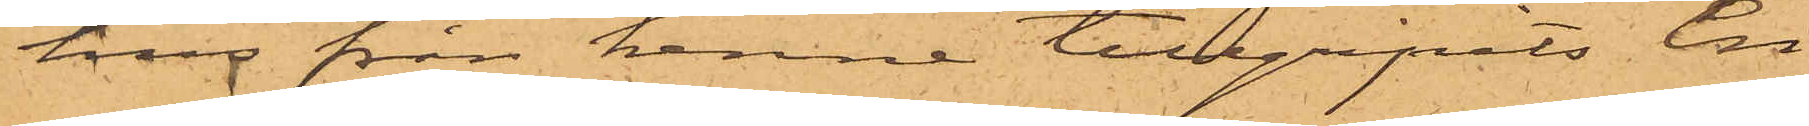hus från henne tillgripits en
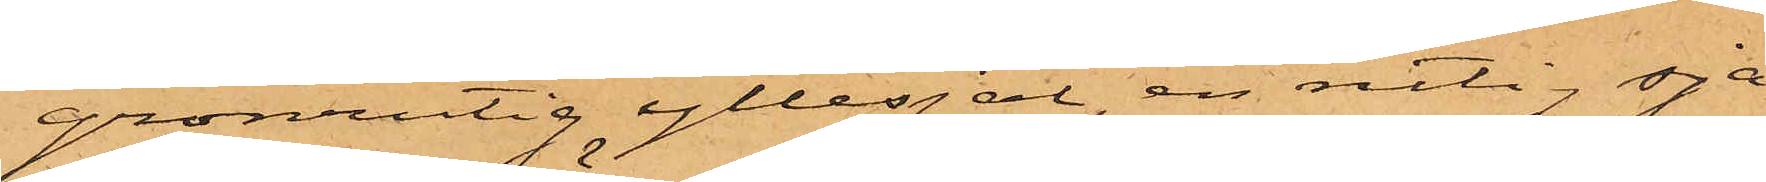grönrutig yllesjal, en rutig sja¬
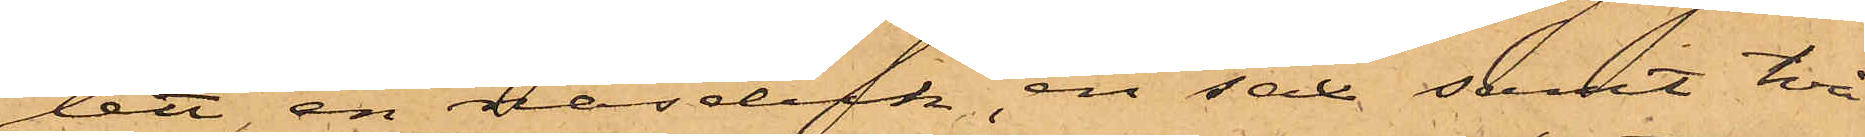lett, en näsduk, en sax samt två
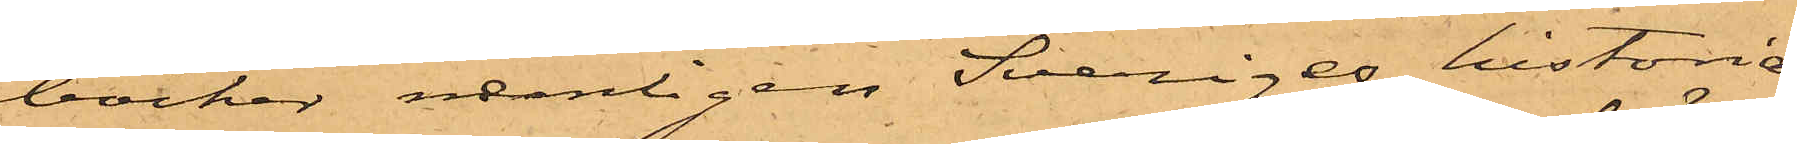böcker, nemligen Sveriges historia
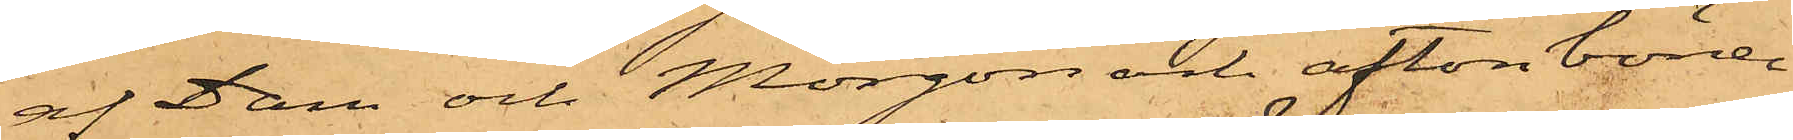af Dam och Morgon och aftonböner
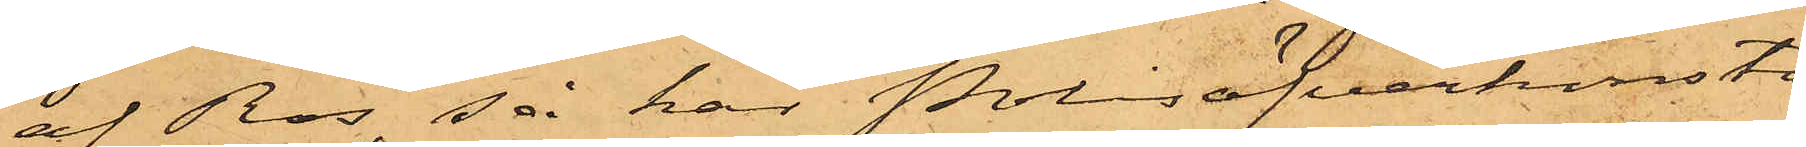af Ros, så har Polisöfverkonsta¬
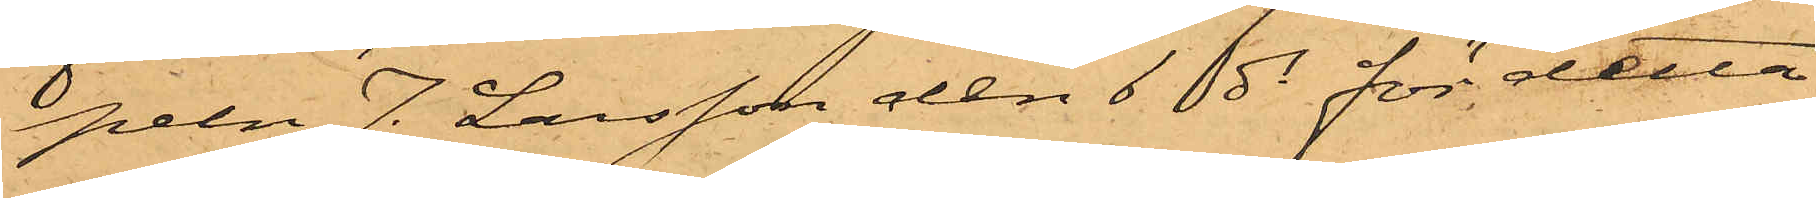peln J. Larsson den 6 ds för detta
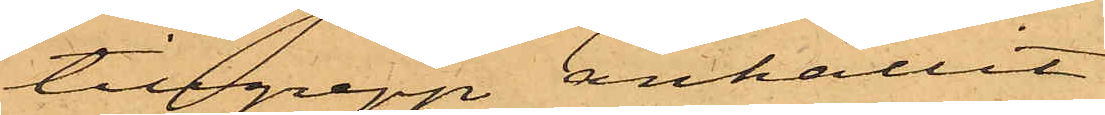tillgrepp anhållit
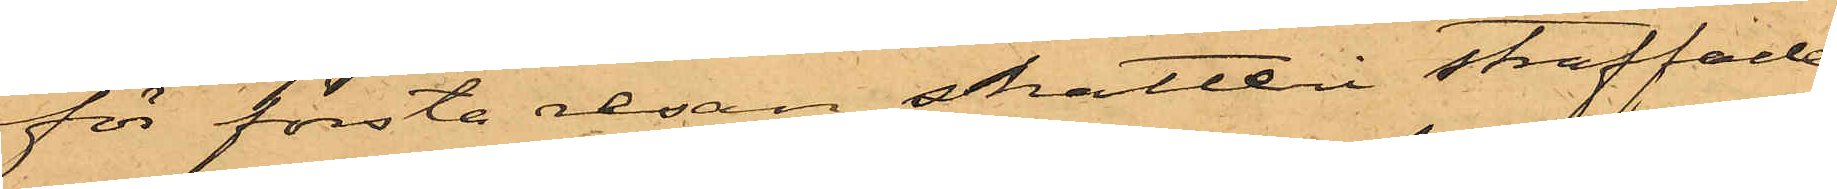för första resan snatteri straffade
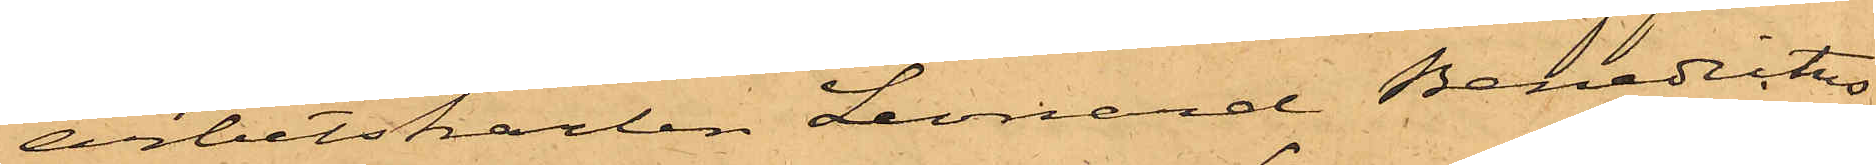Arbetskarlen Leonard Benedictus
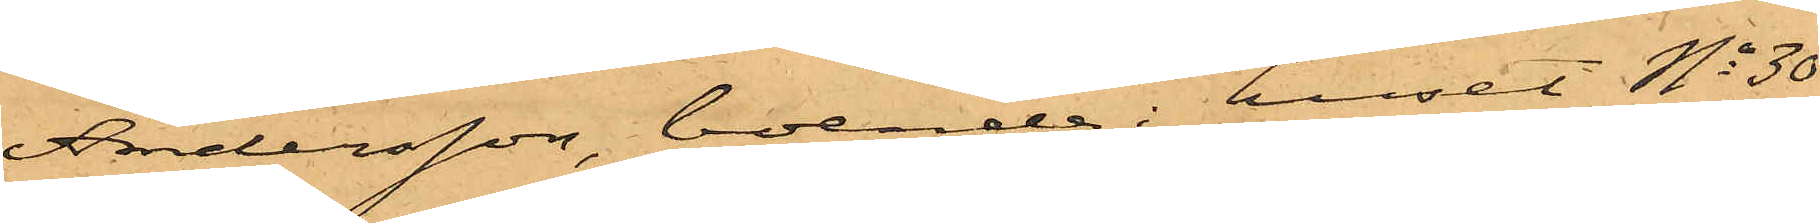Andersson, boende i huset No 30
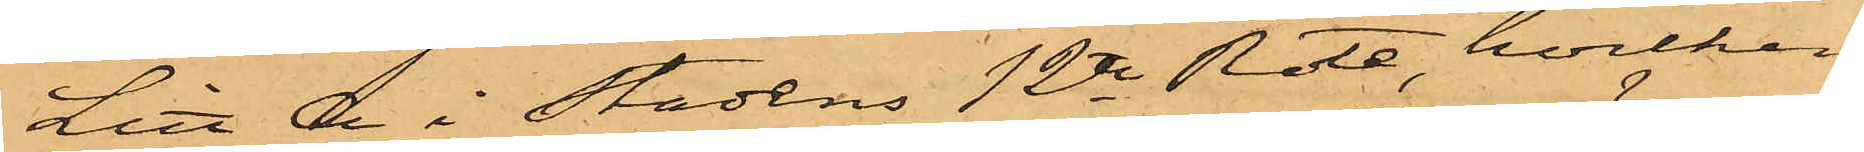Litt A i Stadens 12te Rote, hvilken
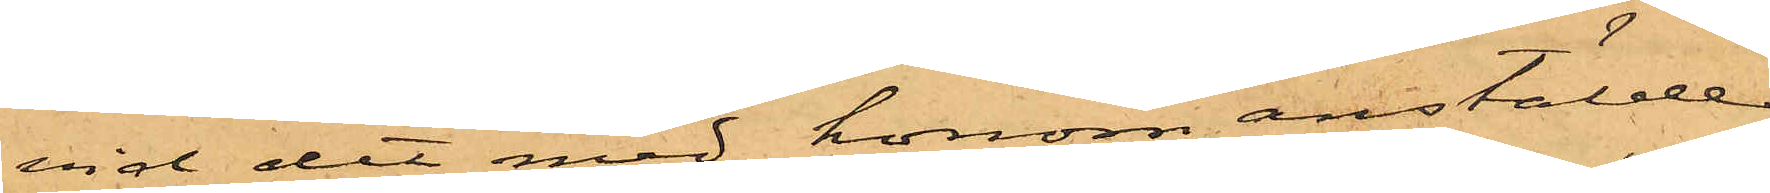vid det med honom anstälde
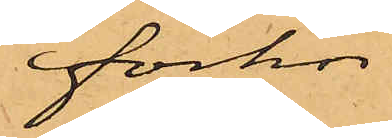förhör
